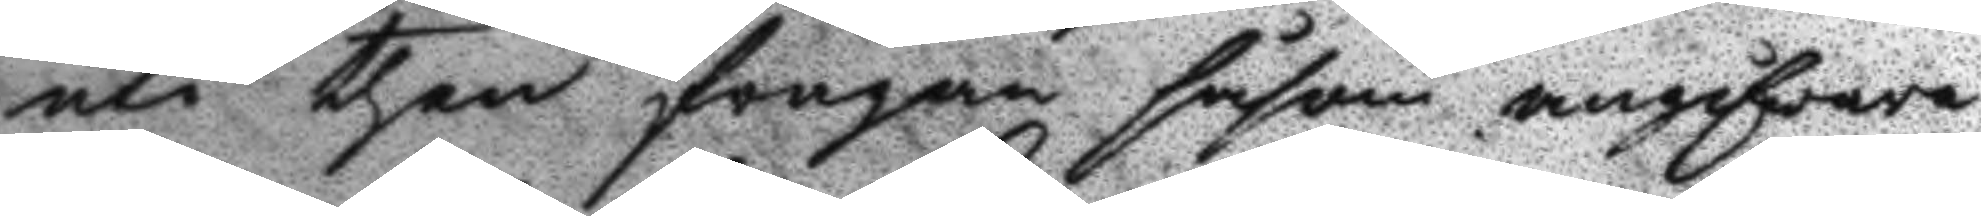uti then frågan såsom angifware
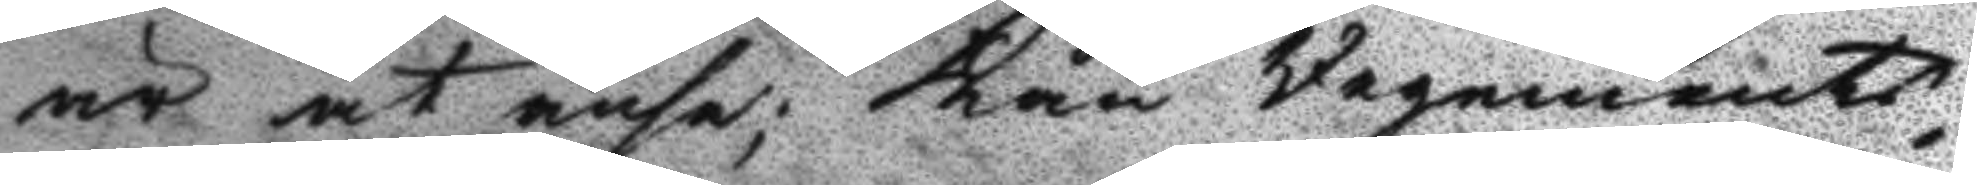är at anse; kan Regements
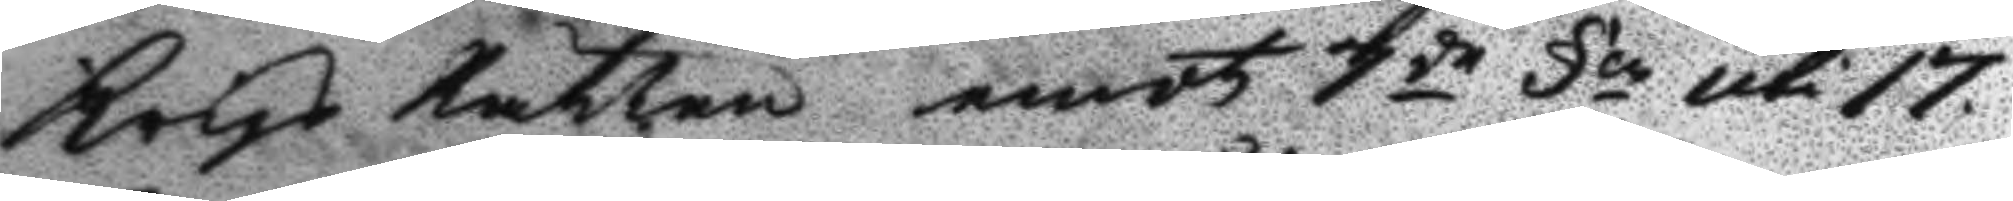Krigs Rätten emot 7de §en uti 17
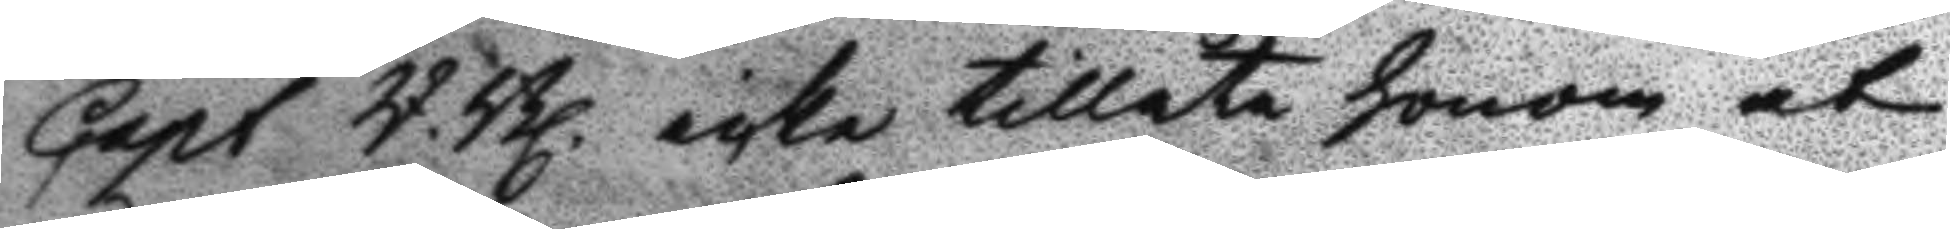Capt R.Bl. icke tillåta honom at
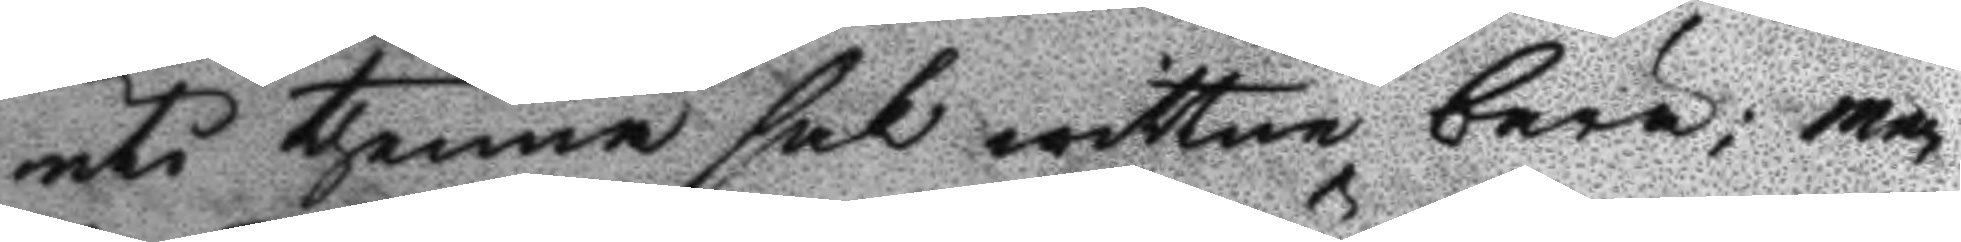uti thenne sak wittne bära; men
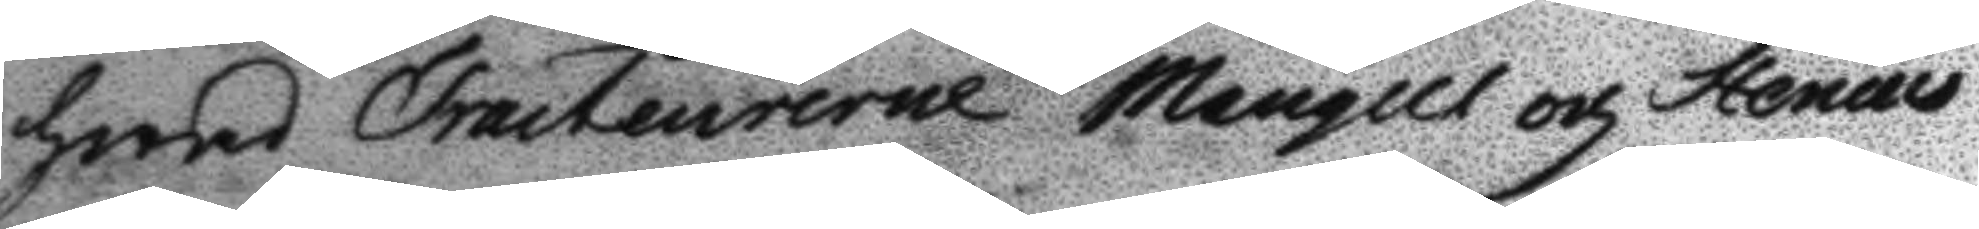hwad Tracteurerne Maugell och Stenius
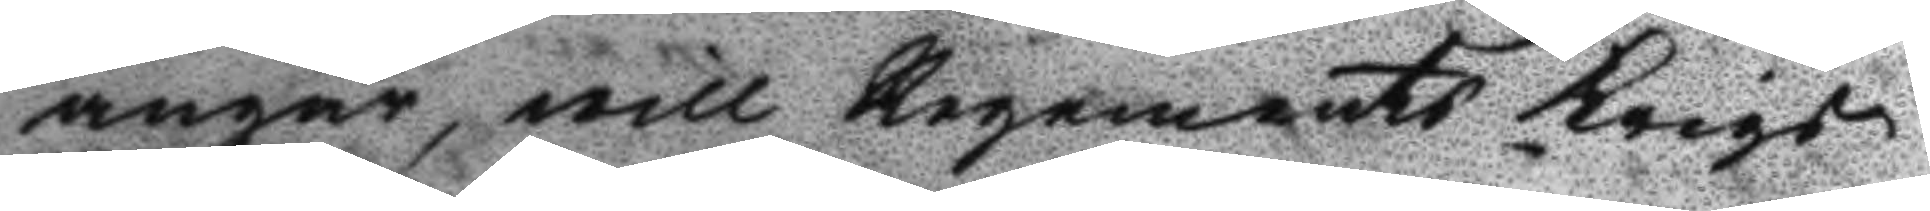angår, will Regements Krigs
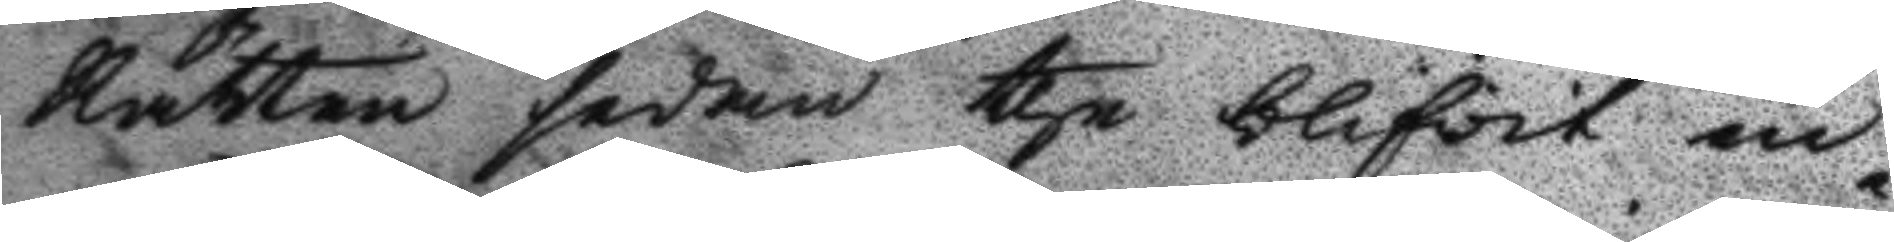Rätten sedan the blifwit in¬
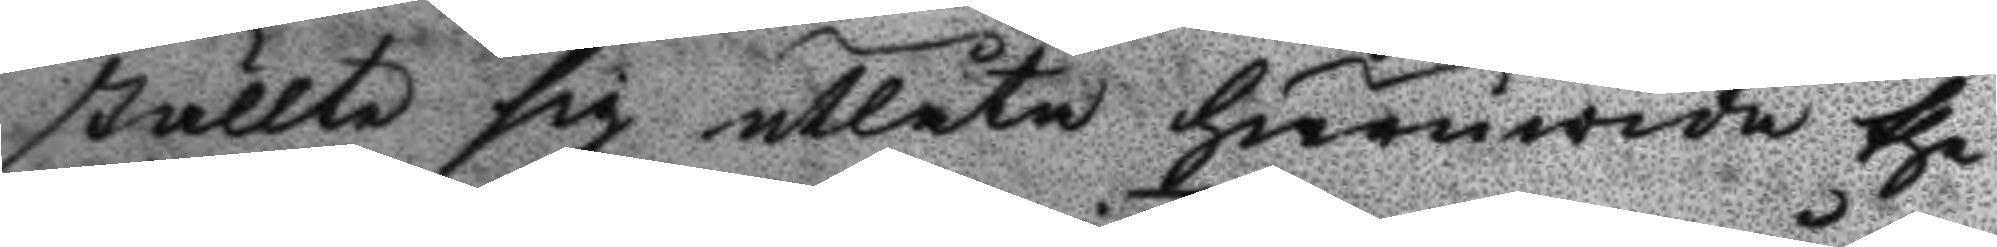ställte sig utlåta huruwida the
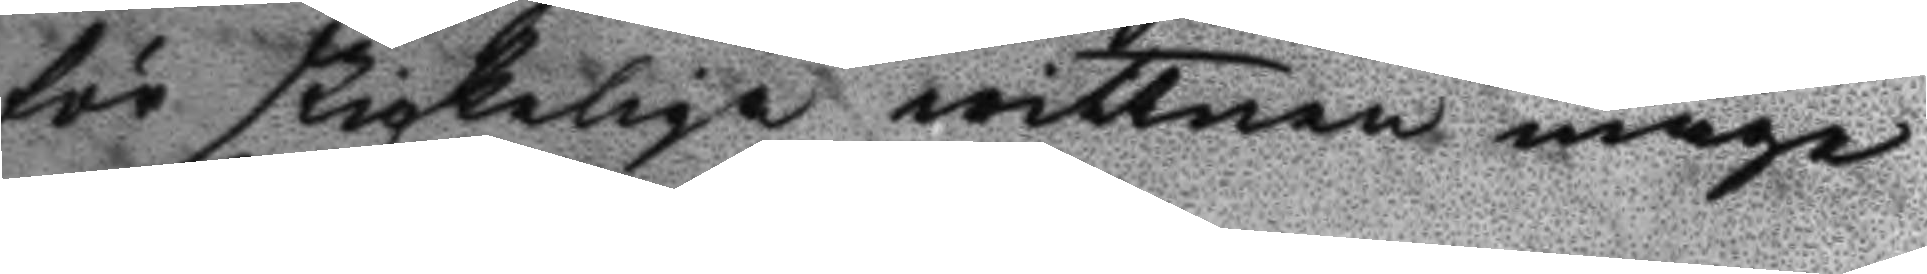för skickeliga wittnen måge
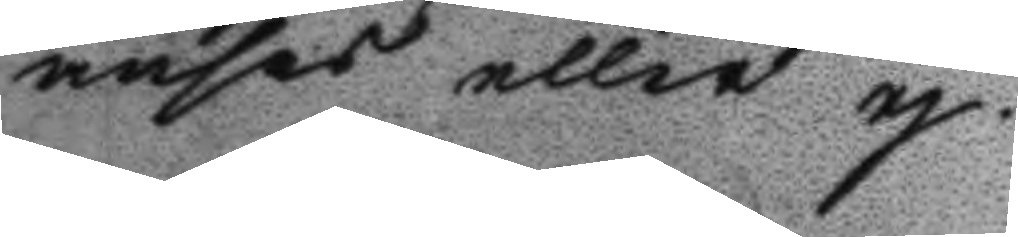anses eller ej.
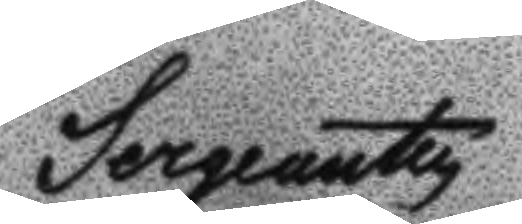Sergeanten
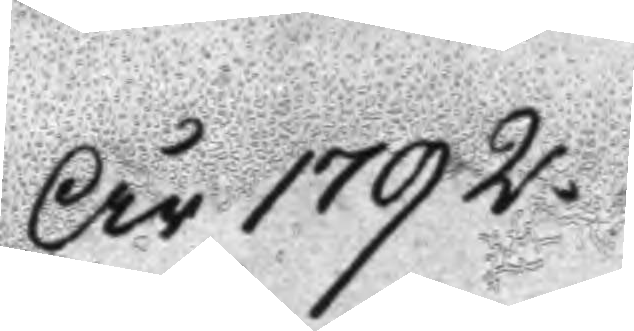År 1792
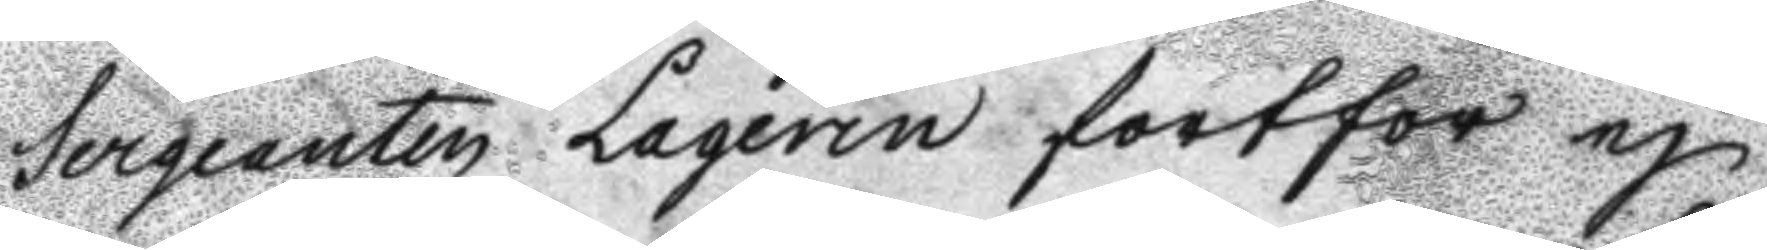Sergeanten laqerin fortfor ej
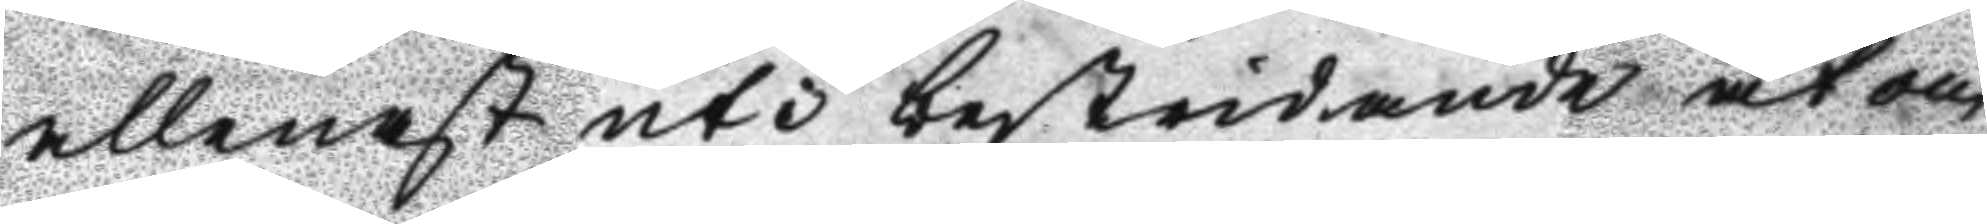allenast uti bestridande at om
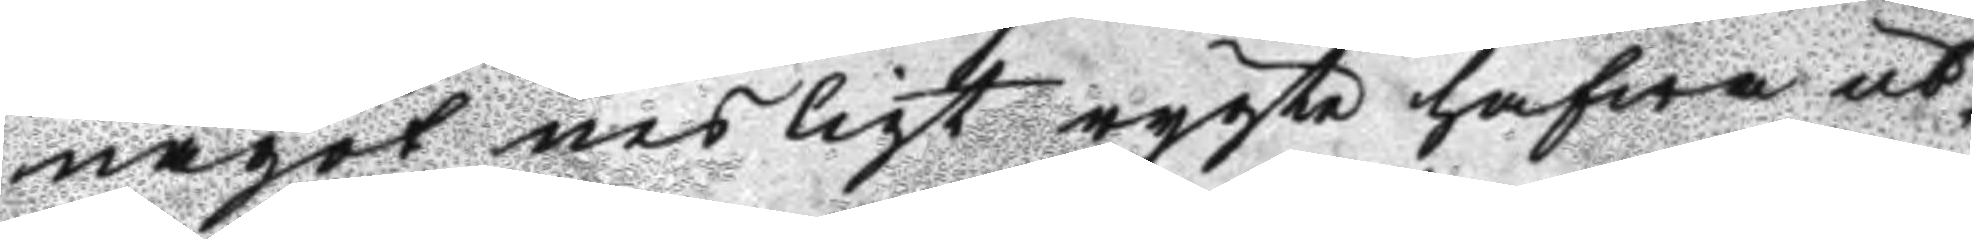något nesligt rygte hafwa ut¬
